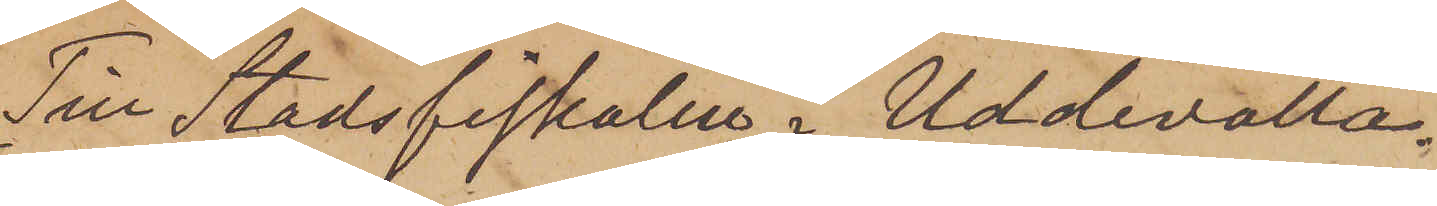Till Stadsfiskalen i Uddevalla.
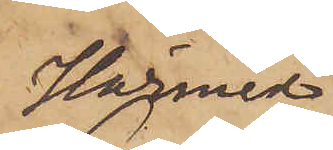Härmed
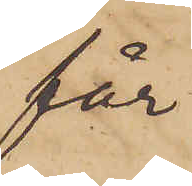får
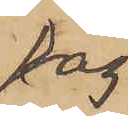jag
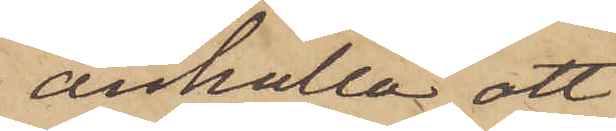anhålla att
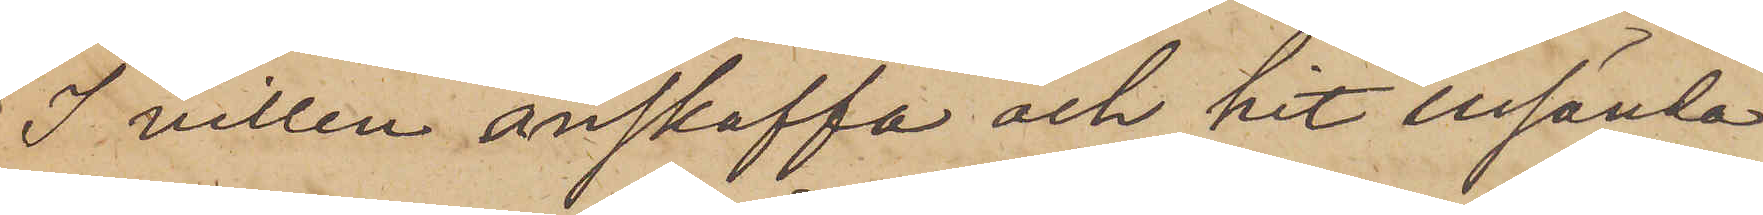I villen anskaffa och hit insända
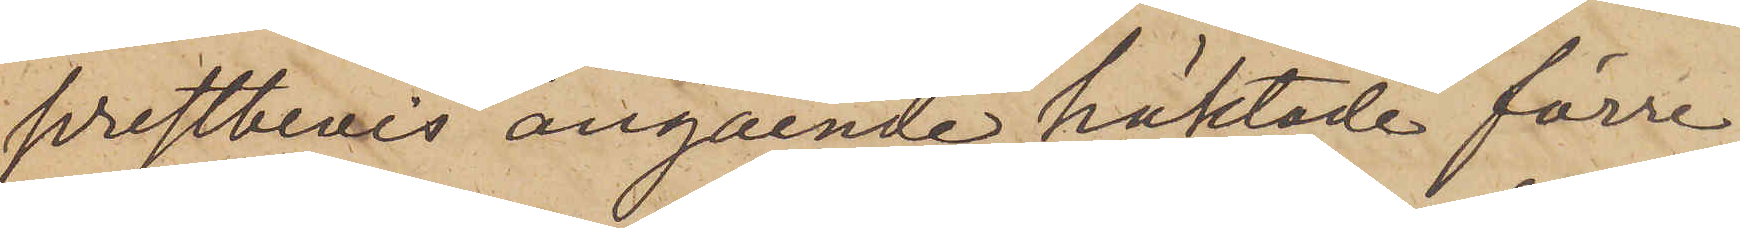prestbevis angående häktade förre
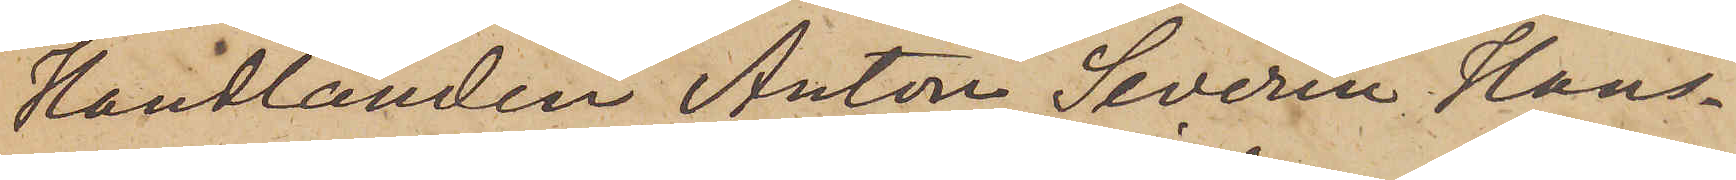handlanden Anton Severin Hans¬
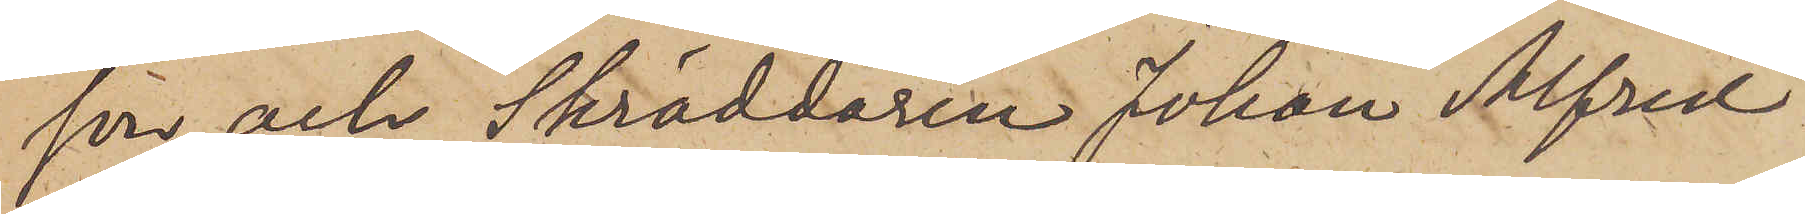son och Skräddaren Johan Alfred
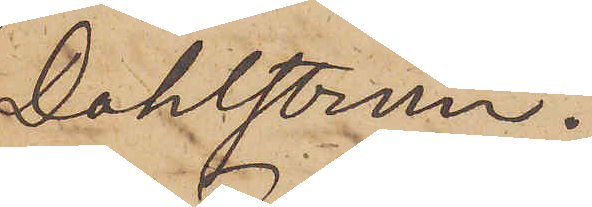Dahlström.
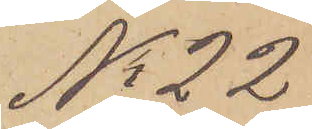No 22
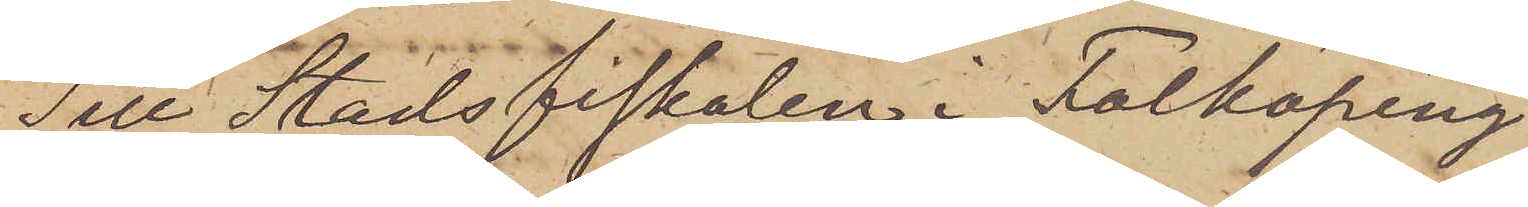Till Stadsfiskalen i Falköping
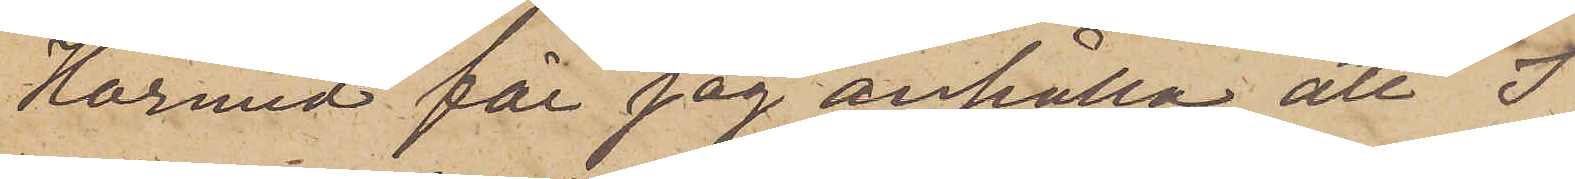Härmed får jag anhålla, att I
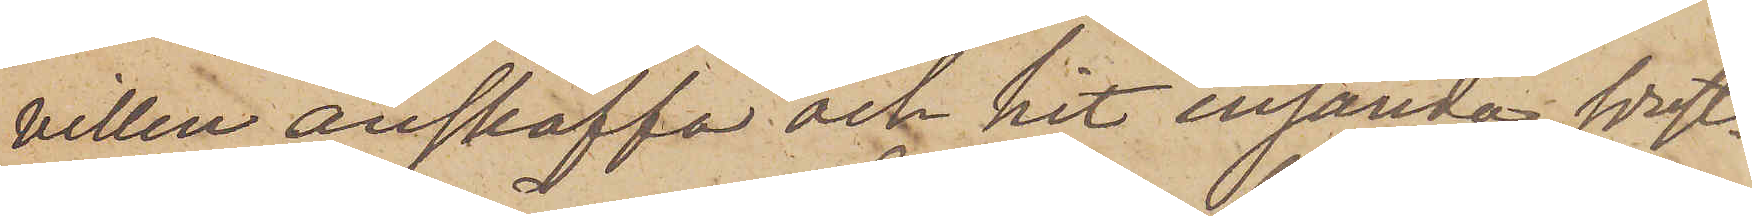villen anskaffa och hit insända prest¬
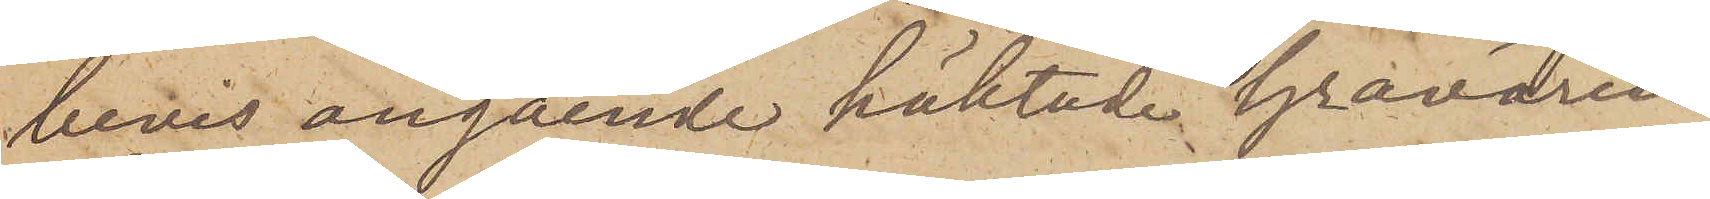bevis angående häktade Gravören
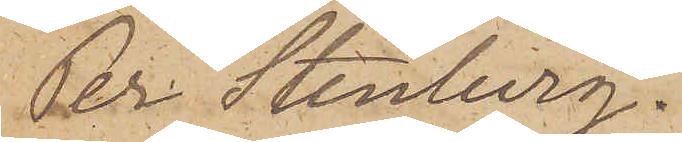Per Stenberg.
